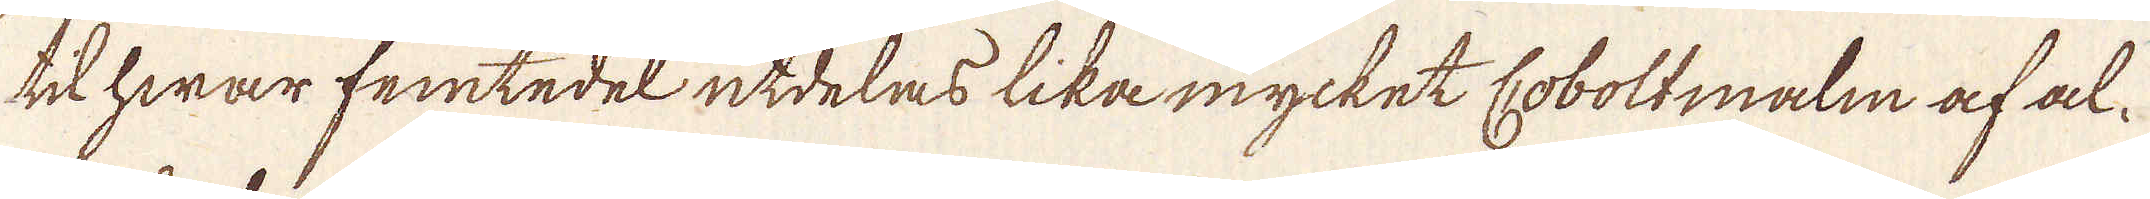till hwar femtedel utdelas lika mycket Coboltmalm af al-
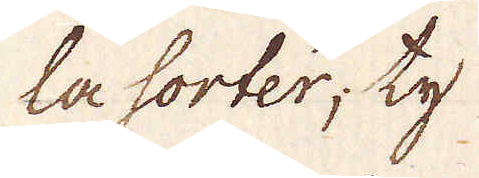la sorter; ty
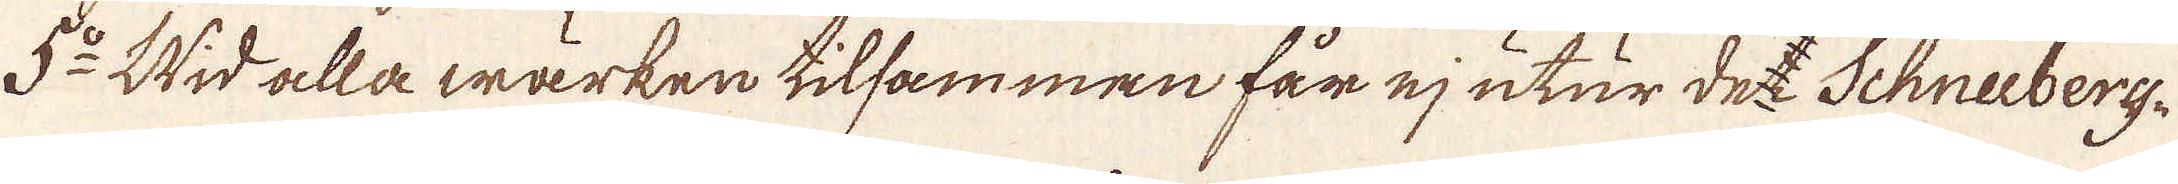5:o Wid alla wärken tilsammen får ej utur det Schneiberg-
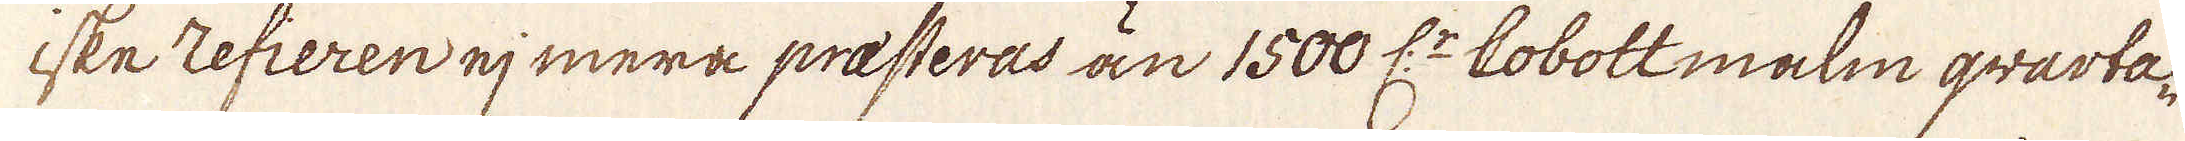iske refieren ej mera presteras än 1500 L:r Coboltmalm qvarta-
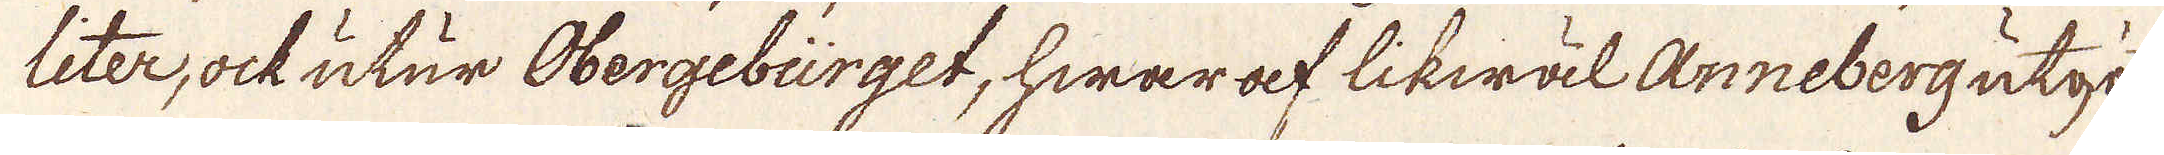liter, ock utur Obergebürget, hwaraf likwäl Anneberg utgör
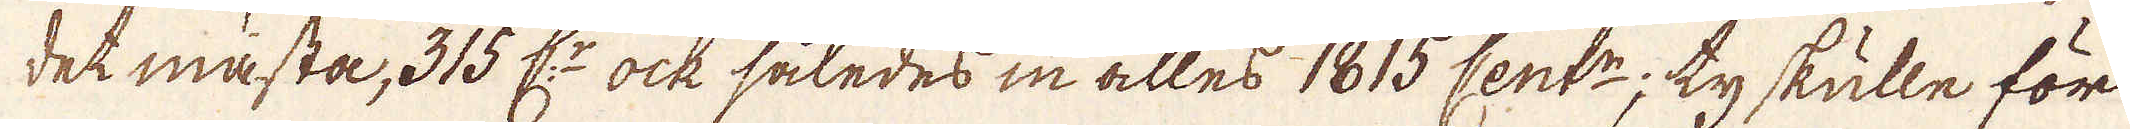det mästa, 315 L:r ock således in alles 1815 Cent:r; ty skulle för
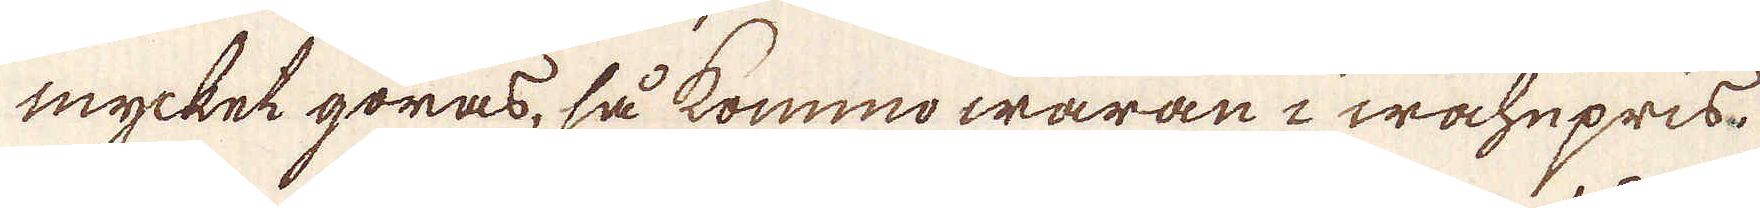mycket göras, så kommo waran i wahnpris.
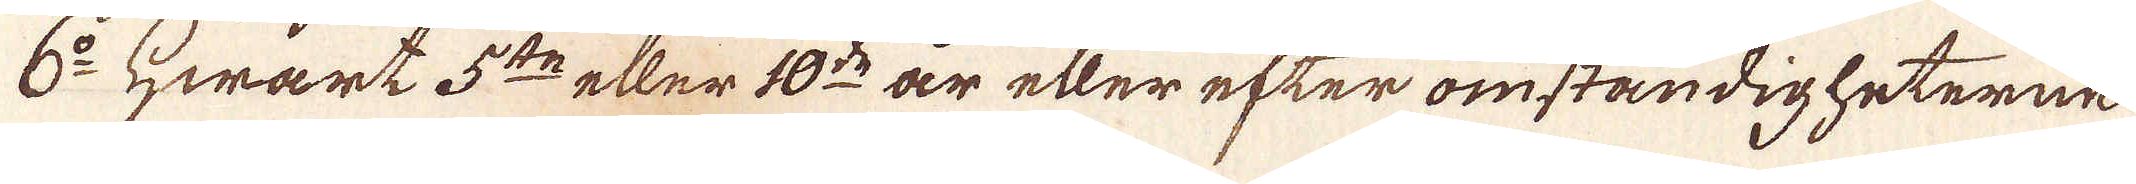6:o Hwart 5:te eller 10:de år eller efter omständigheterne
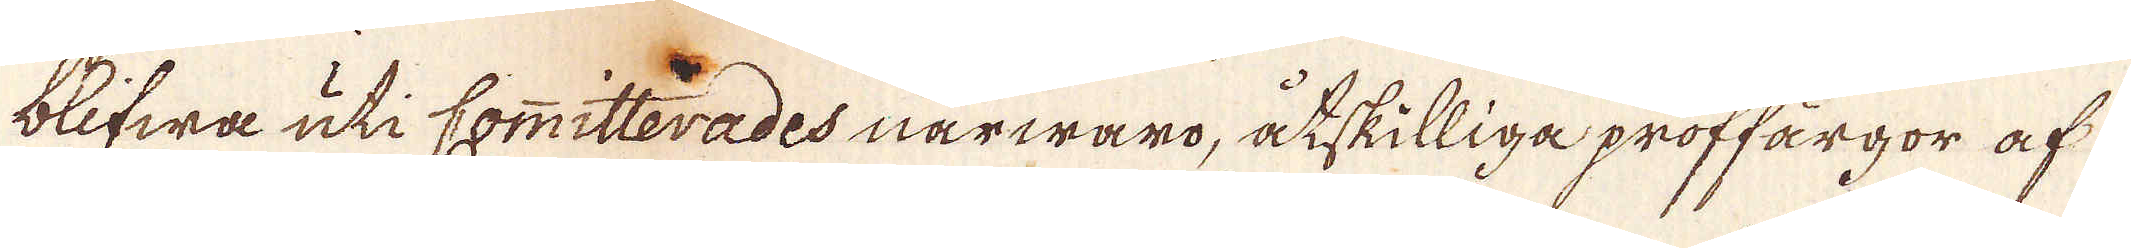blifwa uti Committerades närwaro, åtskilliga proffärgor af
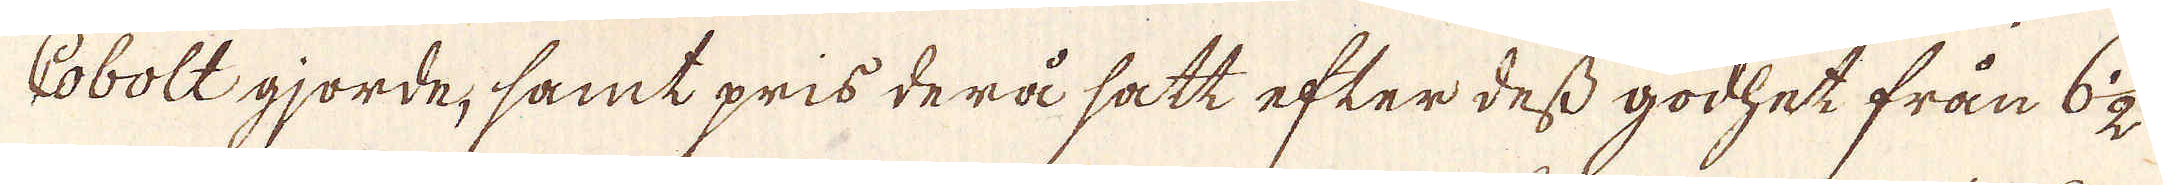Cobolt gjorde, samt pris derå satt efter dess godhet från 6 1/2
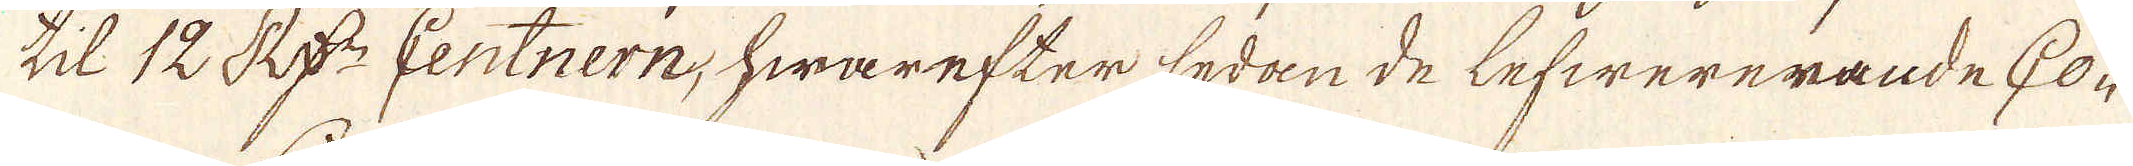til 12 R:dr Centnern, hwarefter sedan de lefwererande Co-
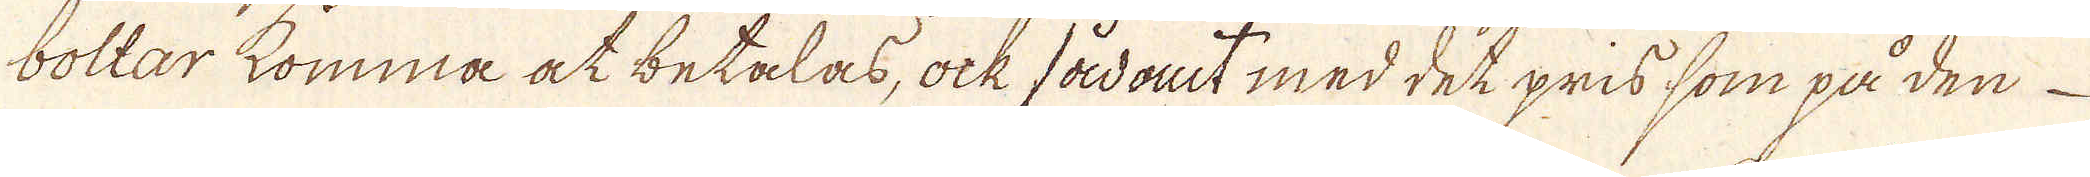boltar komma at betalas, ock sådant med det pris som på den
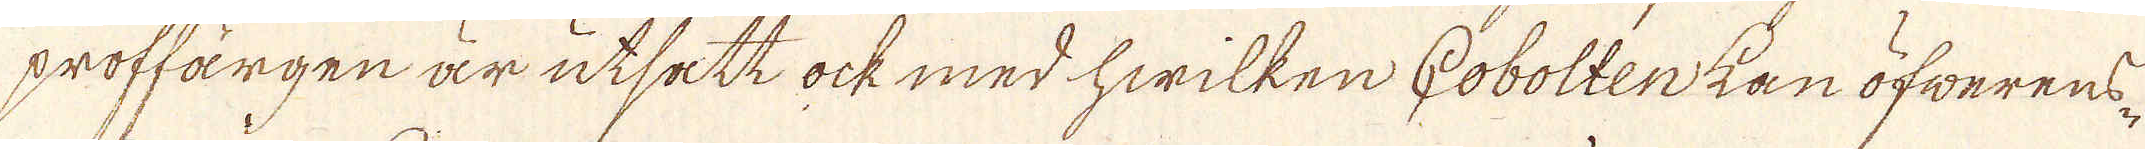proffärgen är utsatt ock med hwilken Cobolten kan öfwerens-
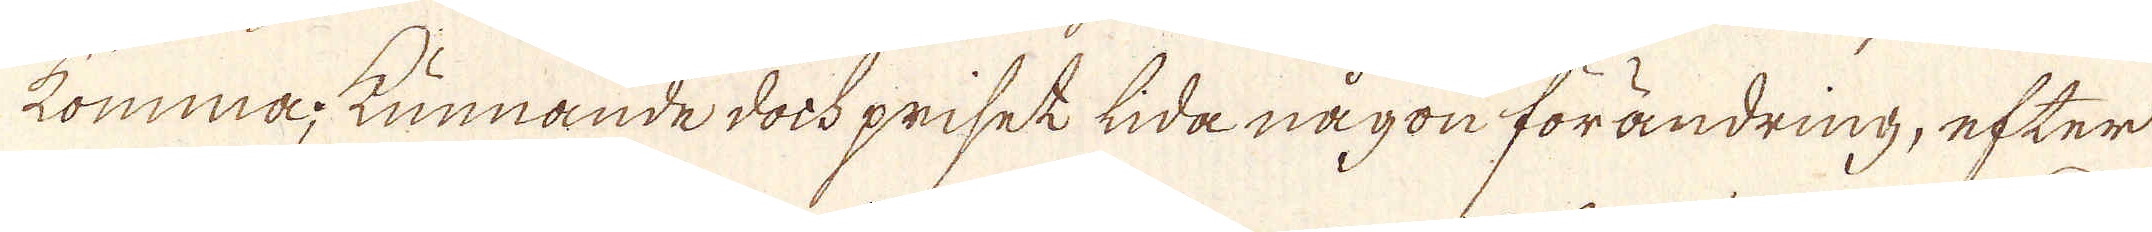komma, kunnande dock priset lida någon förändring, efter
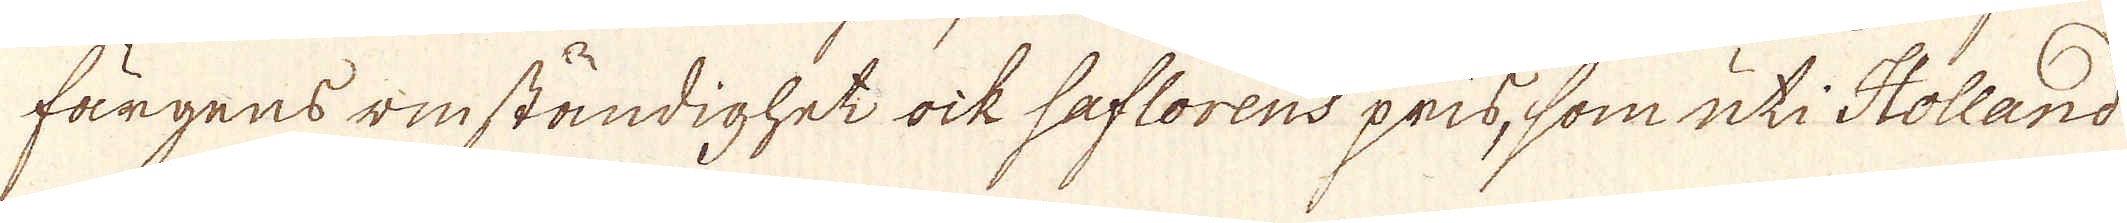färgens omständighet ock saflorens pris, som uti Holland
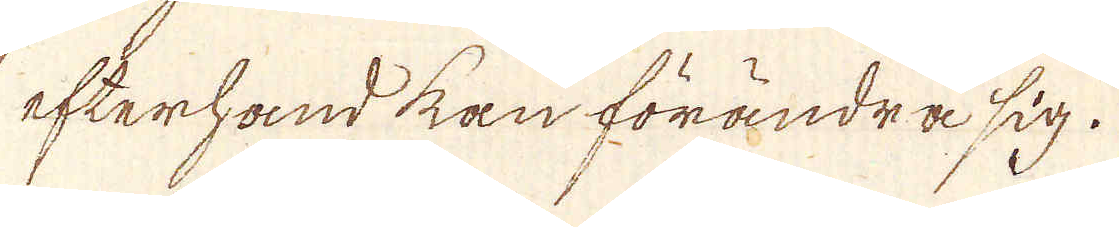efterhand kan förändra sig.
